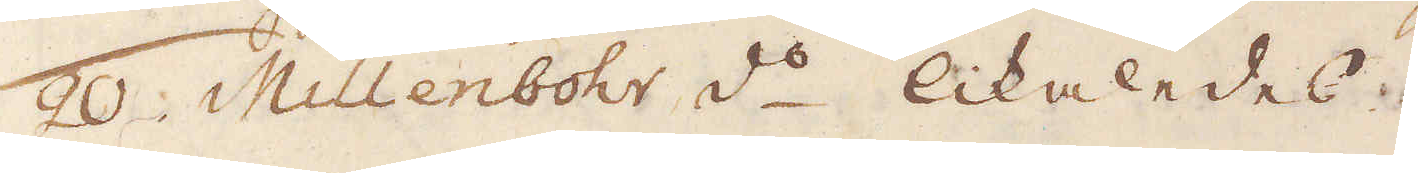20. Millenbohr d:o likaledes.
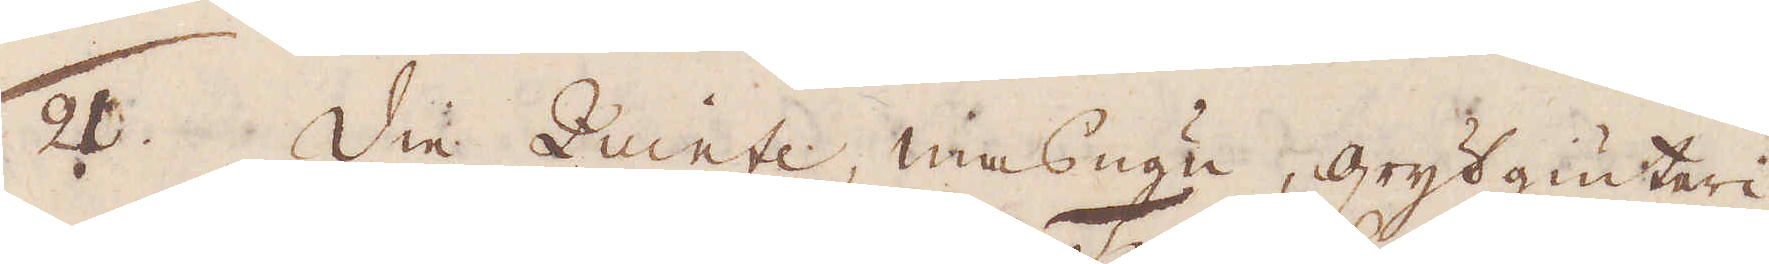21. Die Zuinte, masugn, grytgiuteri
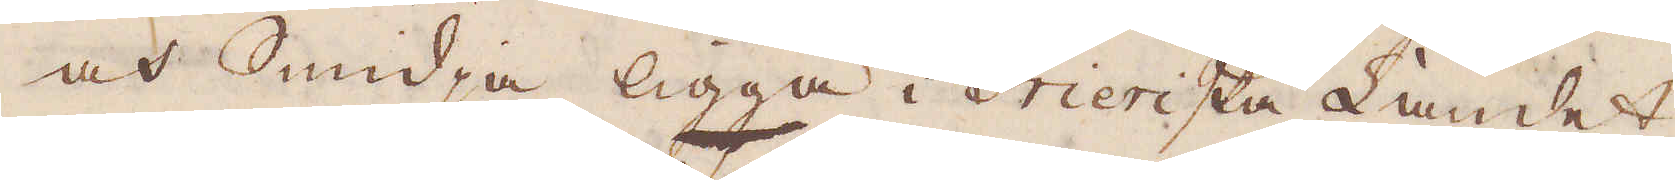och Smidja ligga i Trierska Landet,
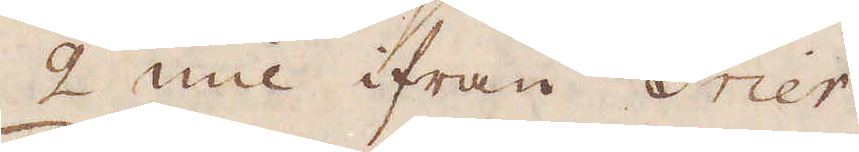2 mil ifrån Trier.
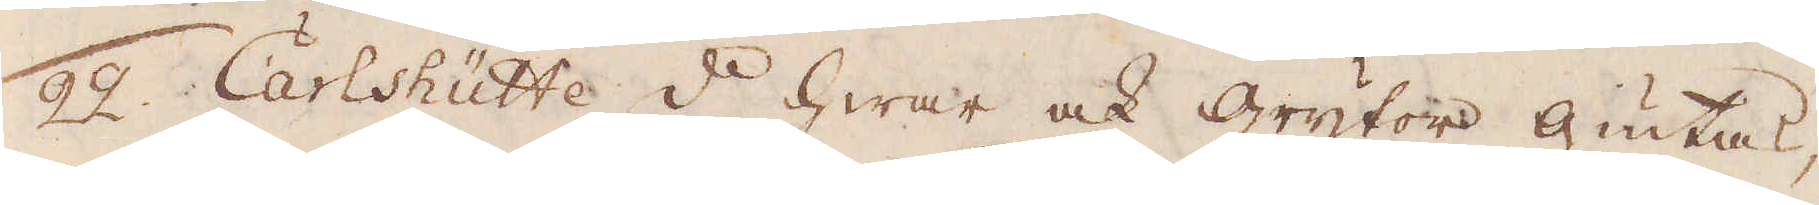22. Carlshütte d:o hwar ock grytor giutas,
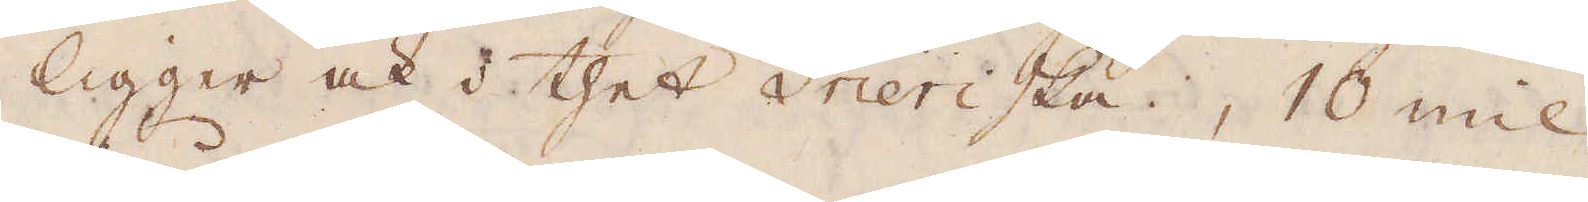ligger ock i thet Trierska, 10 mil
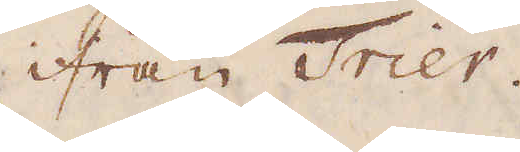ifrån Trier.
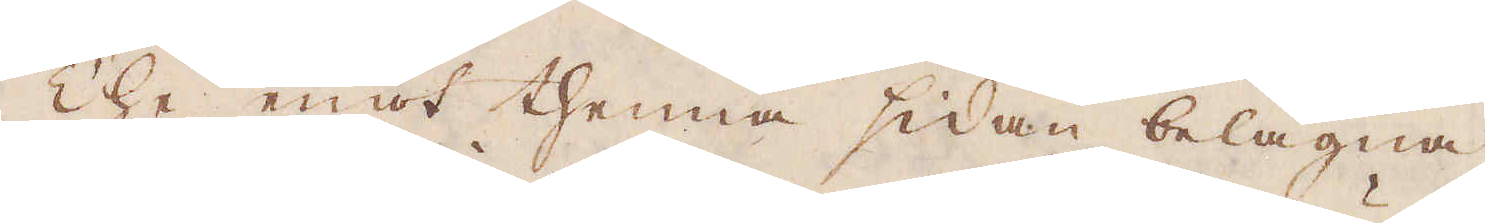The emot thenna sidan belägna
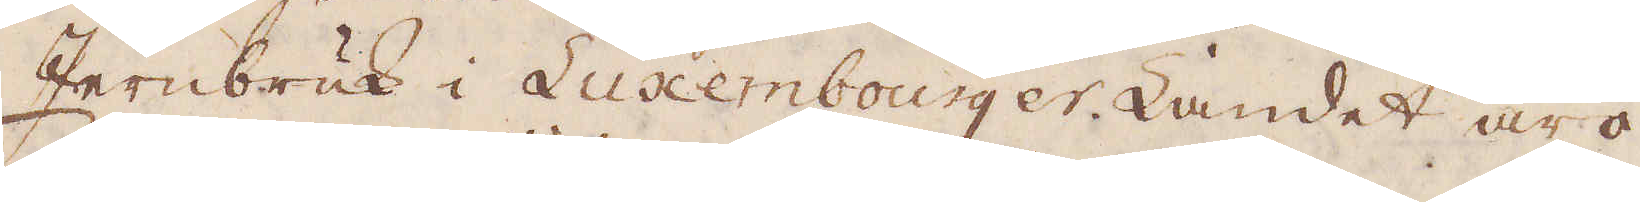Jernbruk i Luxembourger Landet äro
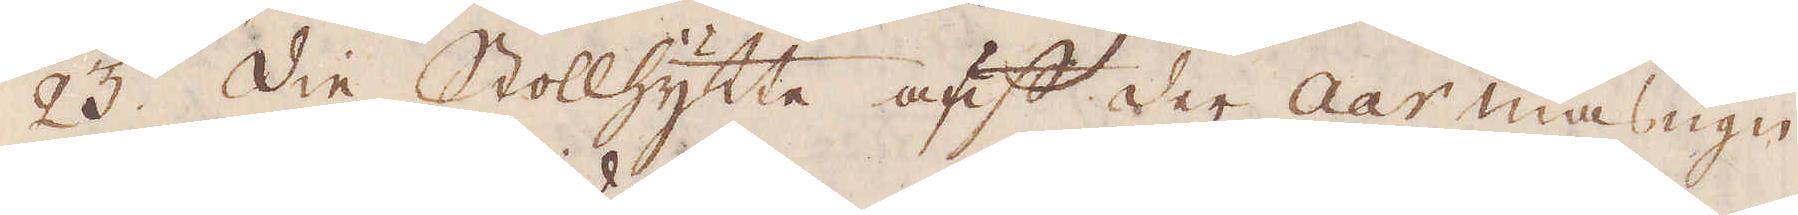23. Die Stollhytte auf der Aar masugn
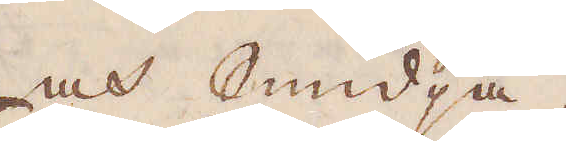och Smidja.
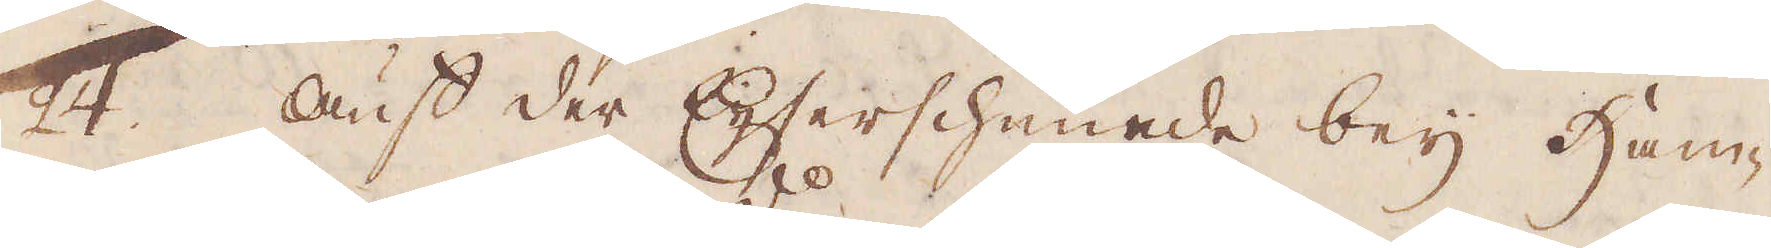24. Auf der Eijserschmiede bey Ham-
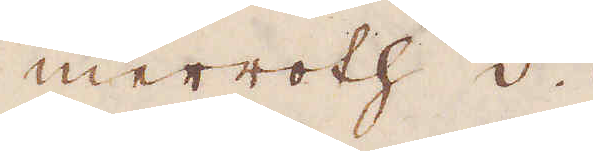merroth d:o
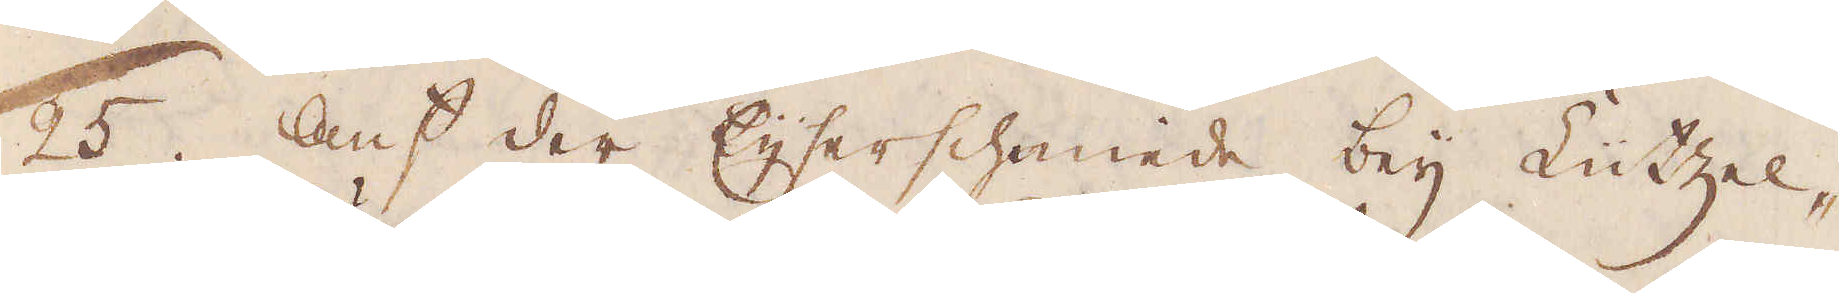25. Auf der Eijserschmiede bey Lutzel-
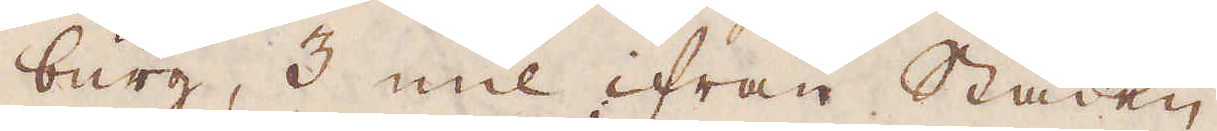burg, 3 mil ifrån Staden.
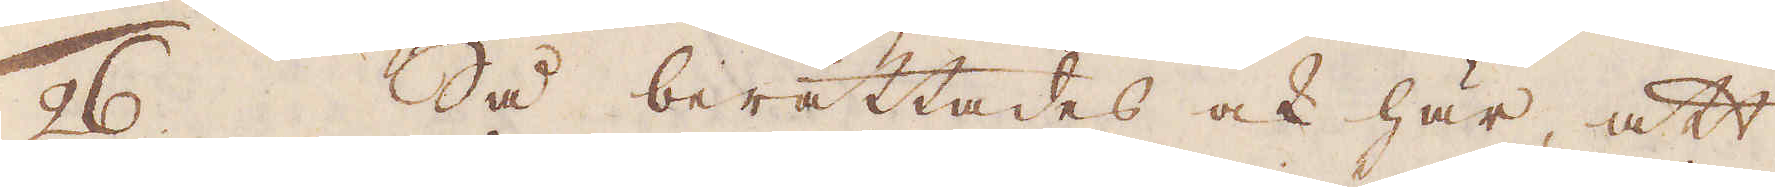26. Så berättades ock här, att
